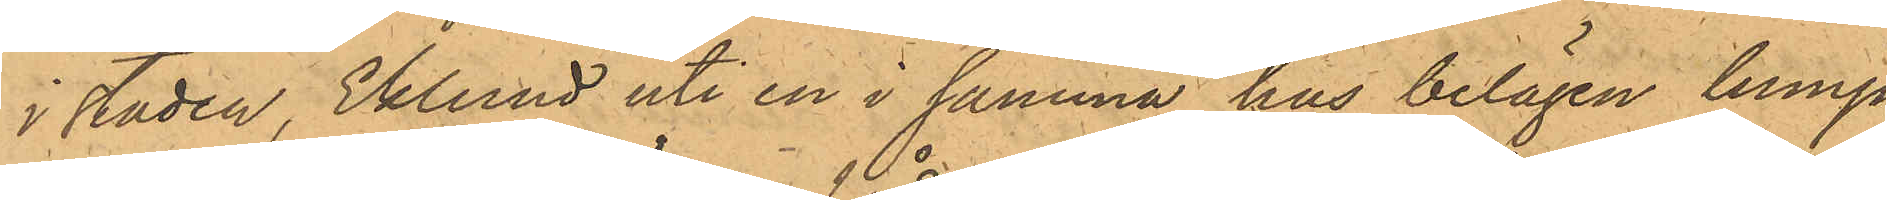i staden, Eklund uti en i samma hus belägen lump¬
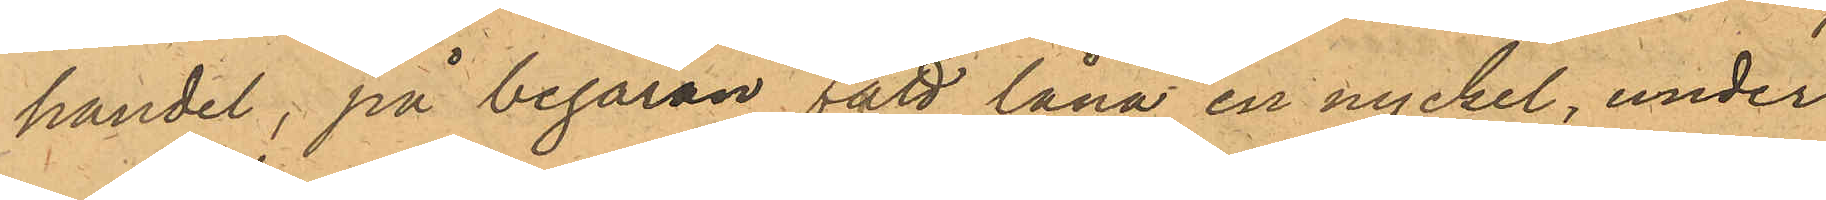handel; på begäran fått låna en nyckel, under
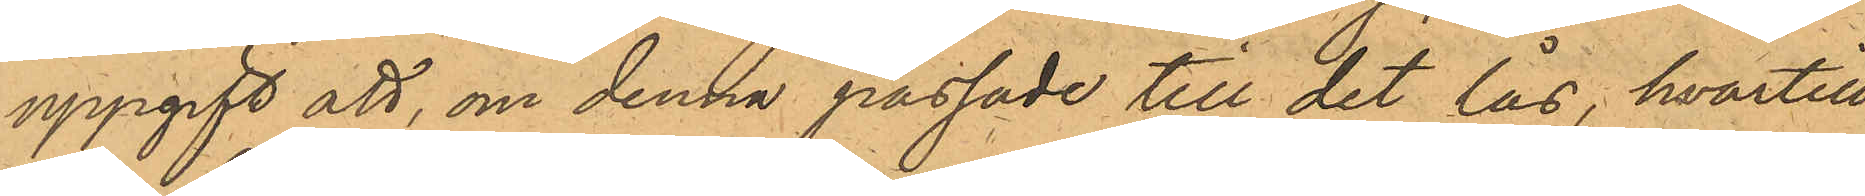uppgift att, om denna passade till det lås, hvartill
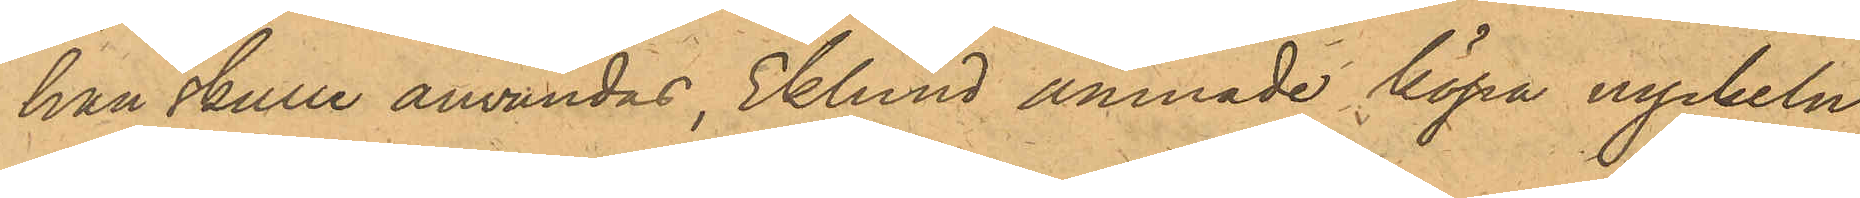han skulle användas, Eklund ämnade köpa nyckeln,
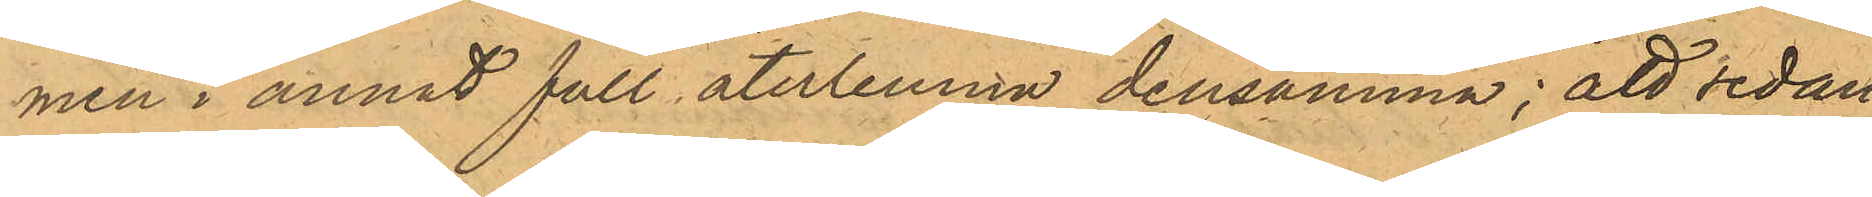men i annat fall återlemna densamma; att sedan
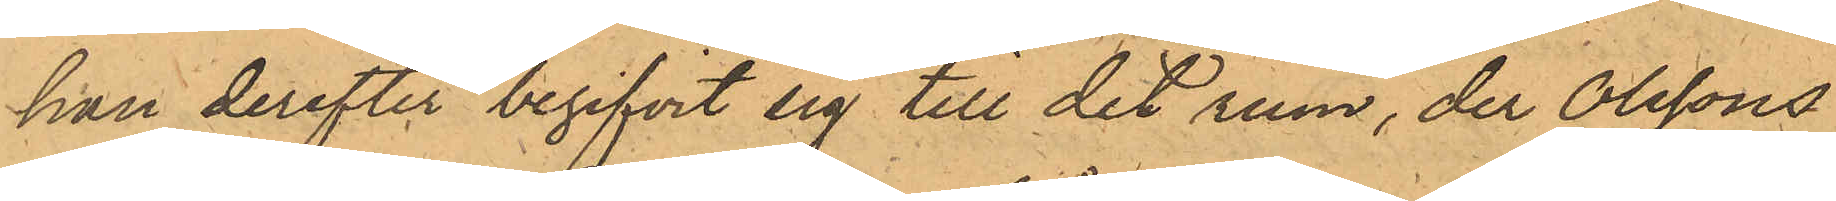han derefter begifvit sig till det rum, der Olssons
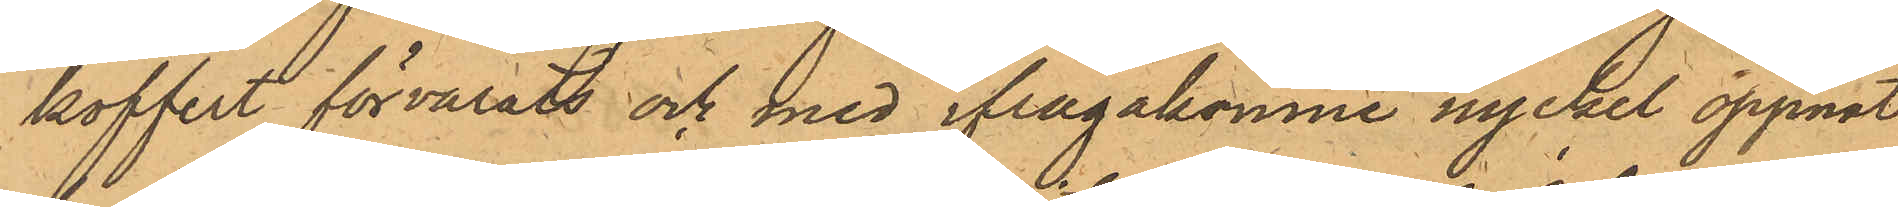koffert förvarats och med ifrågakomne nyckel öppnat
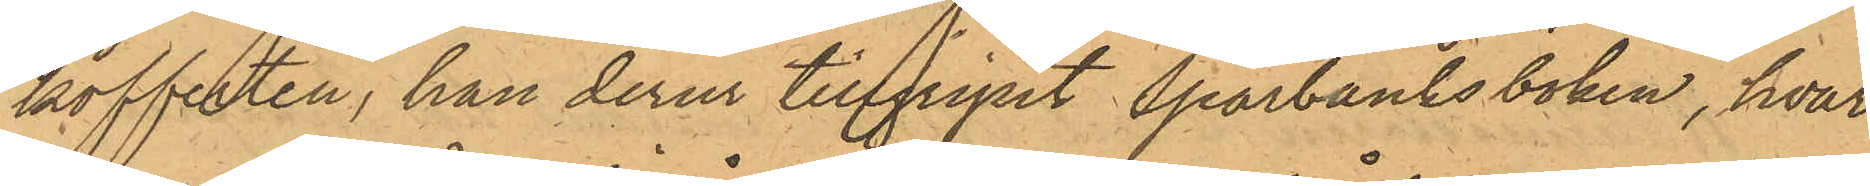kofferten, han derur tillgripit Sparbanksboken, hvar¬
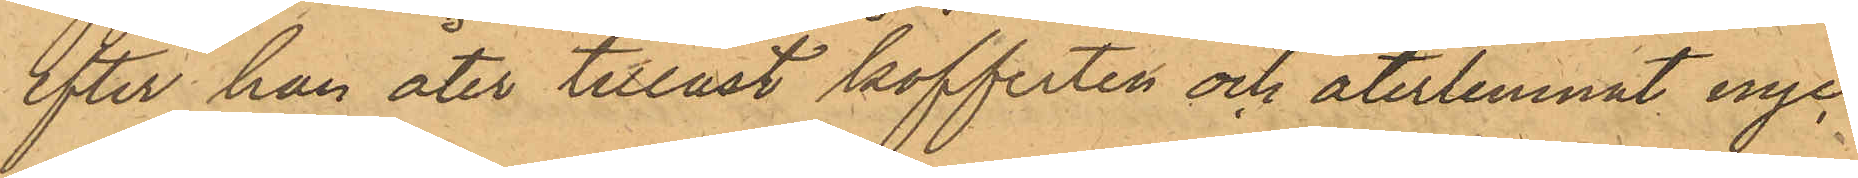efter han åter tillåst kofferten och återlemnat nyc¬
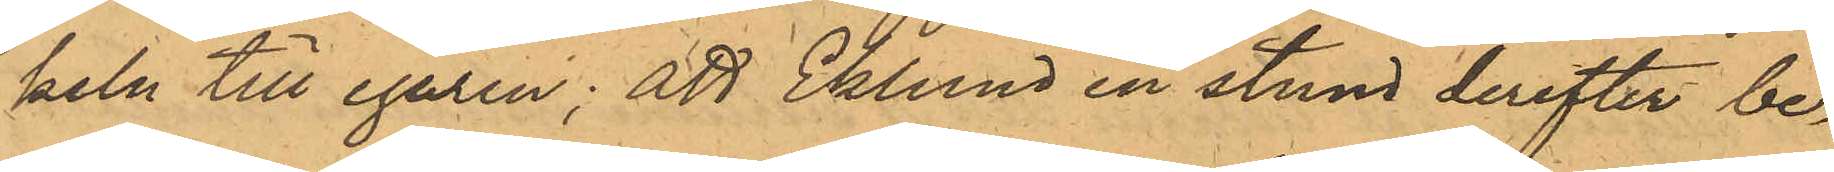keln till egaren; att Eklund en stund derefter be¬
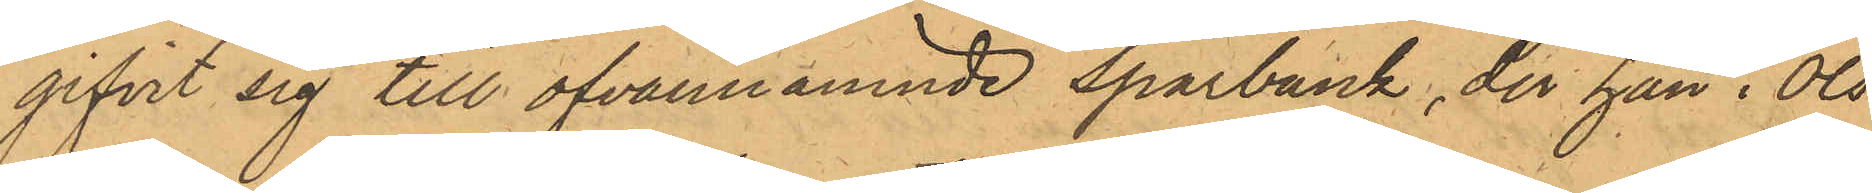gifvit sig till ofvannämnde sparbank, der han i Ols¬
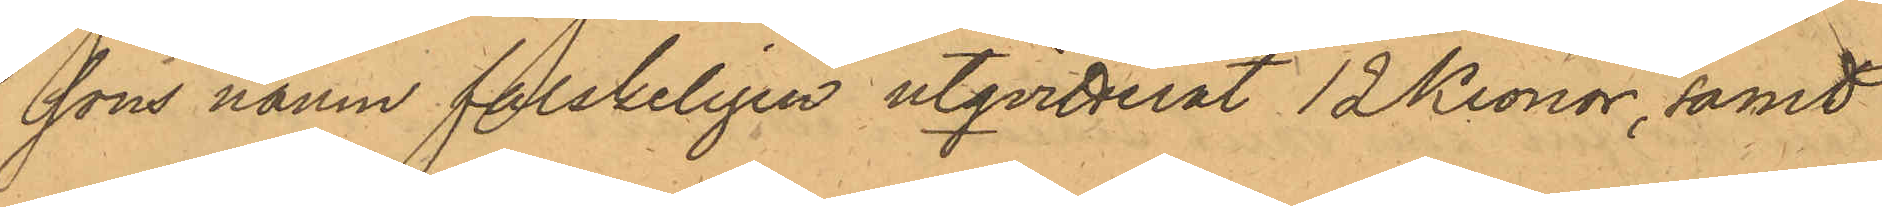sons namn falskeligen utqvitterat 12 Kronor, samt
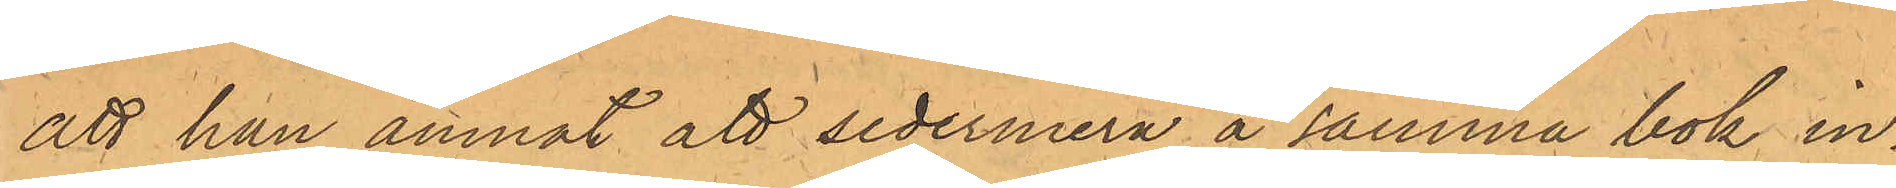att han ämnat att sedermera å samma bok in¬
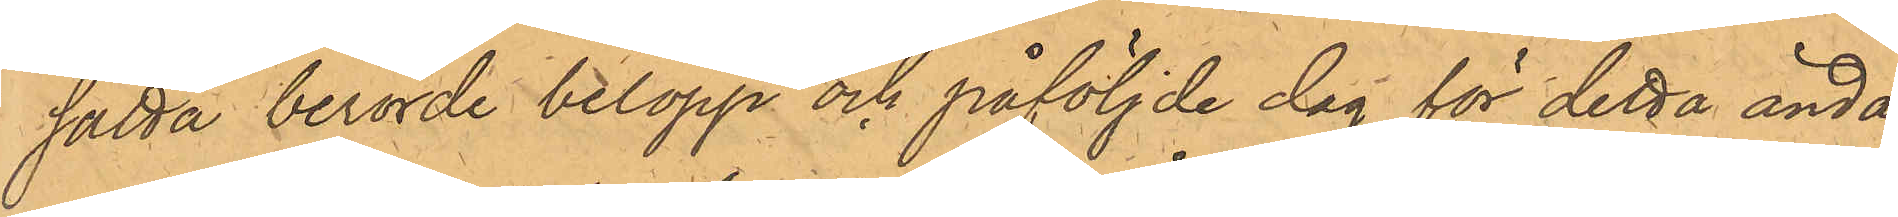sätta berörde belopp och påföljde dag för detta ända¬
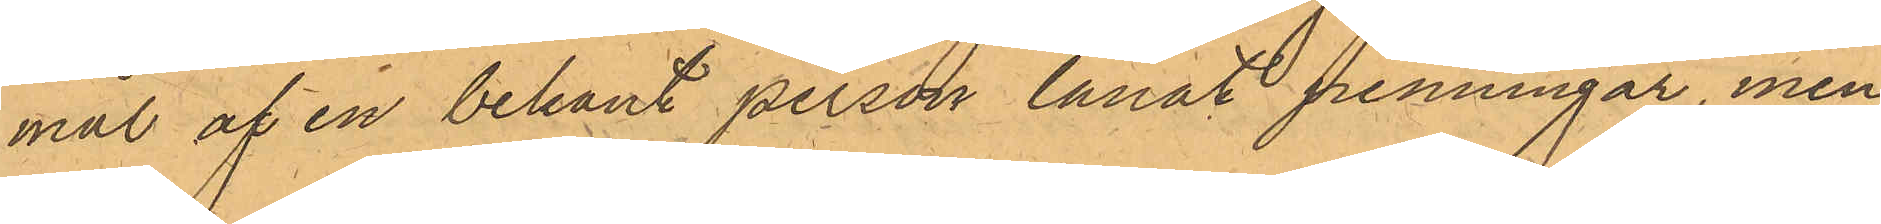mål af en bekant person lånat penningar, men
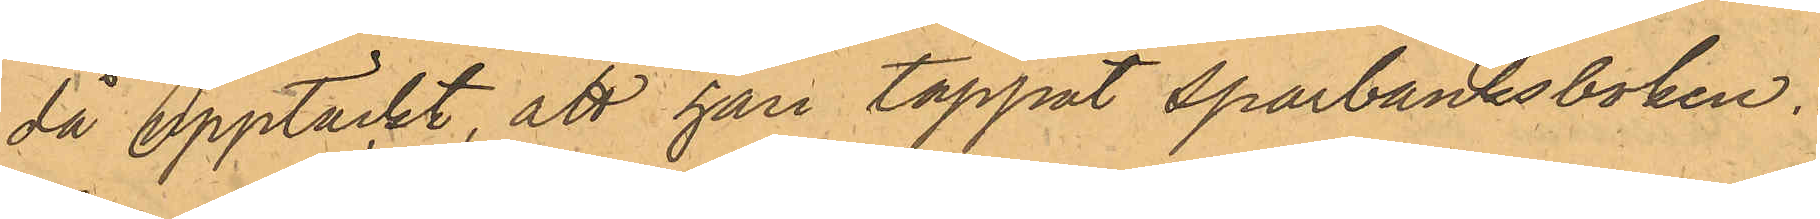då upptäckt, att han tappat sparbanksboken.
